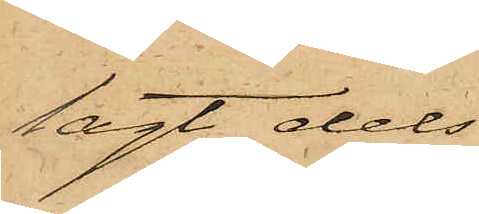lagt dels
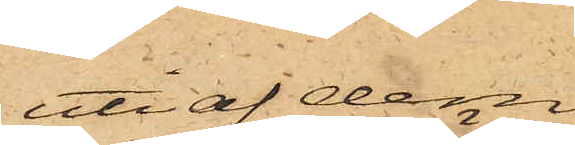uti af dem
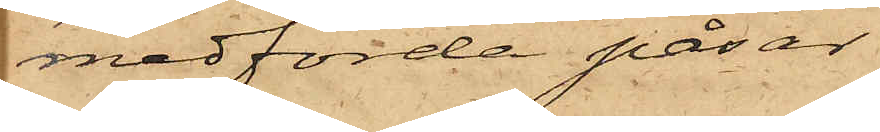medförda påsar,
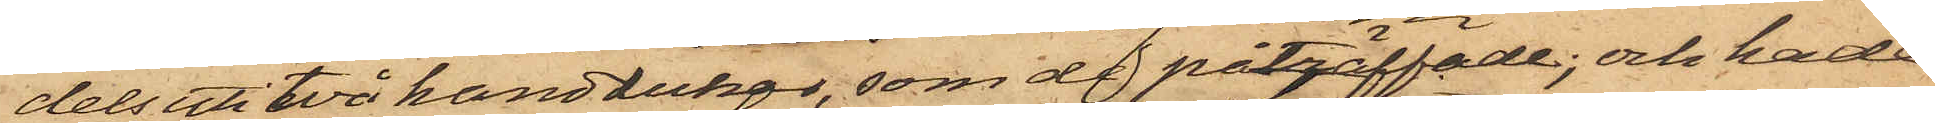dels uti två handdukar, som de påträffade; och hade
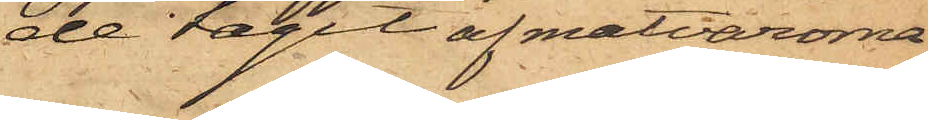de tagit af matvarorna
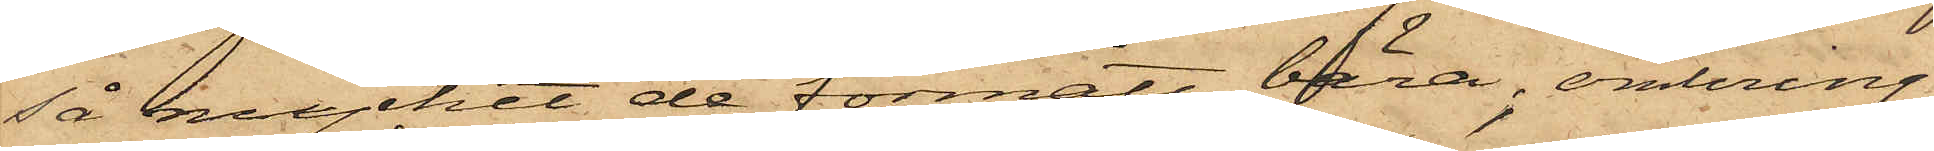så mycket de förmått bära, omkring
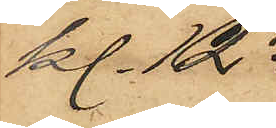kl. 12 
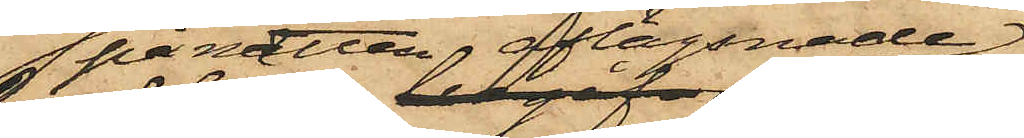 på natten aflägsnade
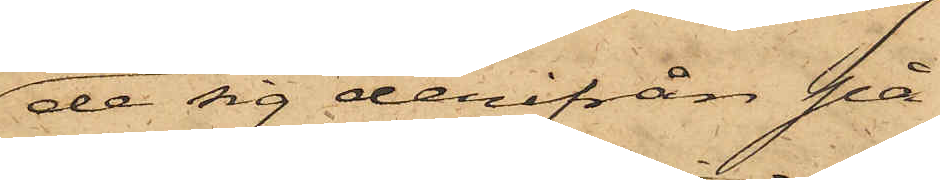de sig derifrån på
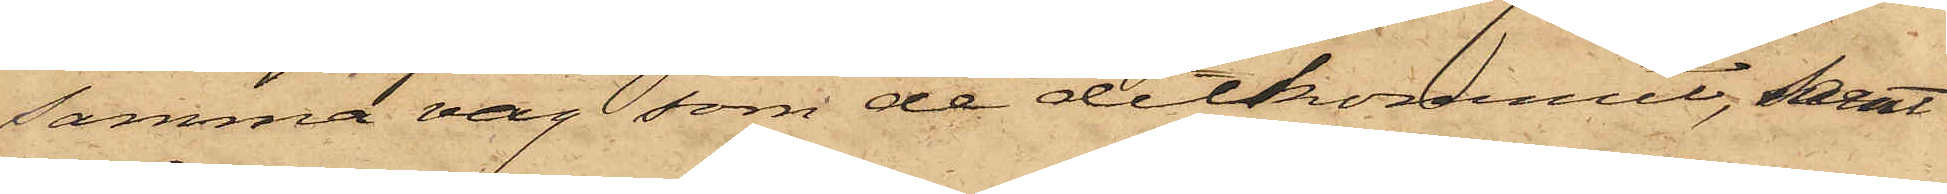samma väg, som de ditkommit, samt
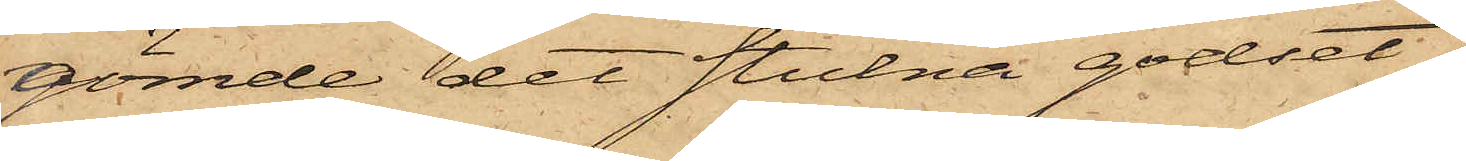gömde det stulna godset
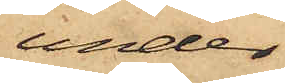under
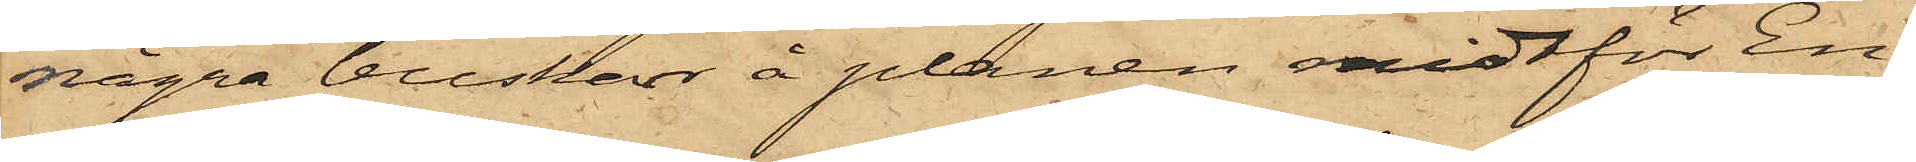några buskar å planen midtför En¬
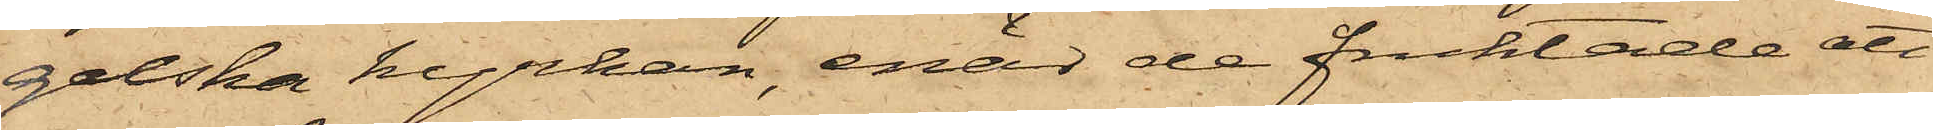gelska kyrkan, enär de fruktade att
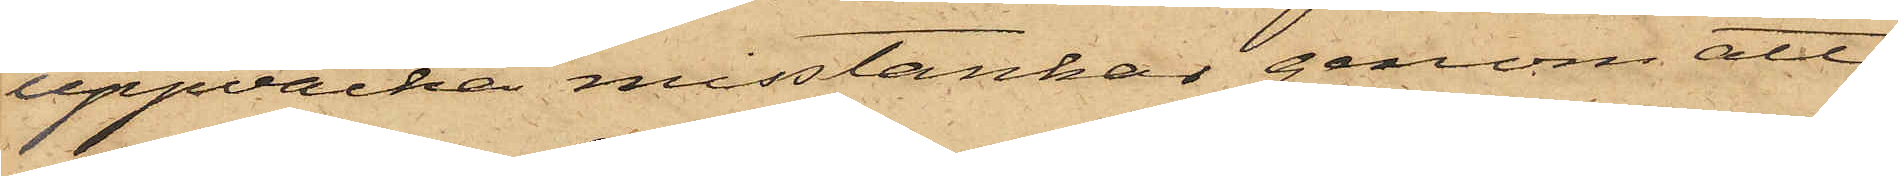uppväcka misstankar genom att
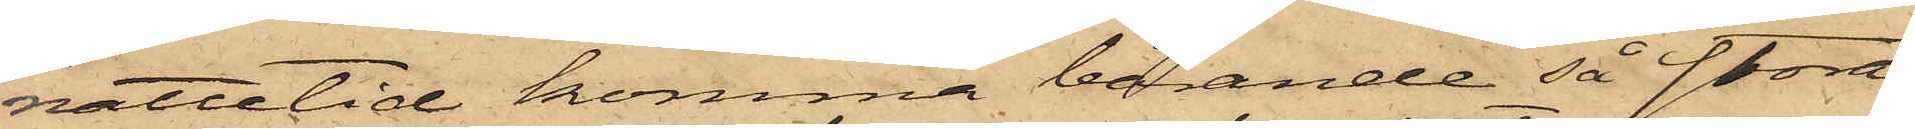nattetid komma bärande så stora
